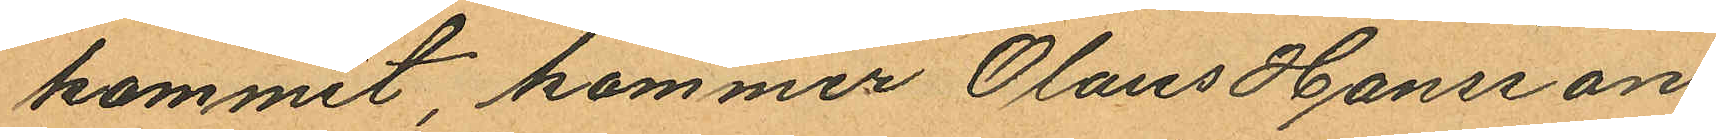kommit, kommer Olaus Hansson
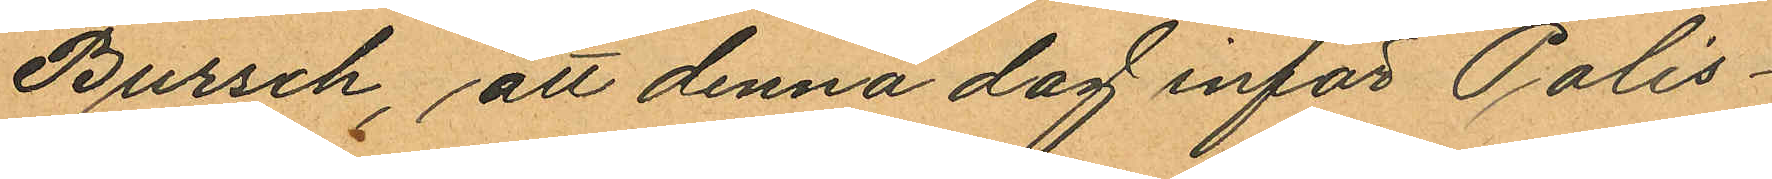Bursch, att denna dag inför Polis¬
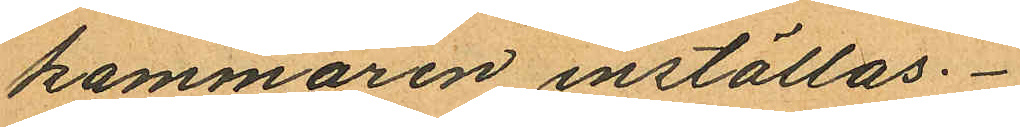kammaren inställas.
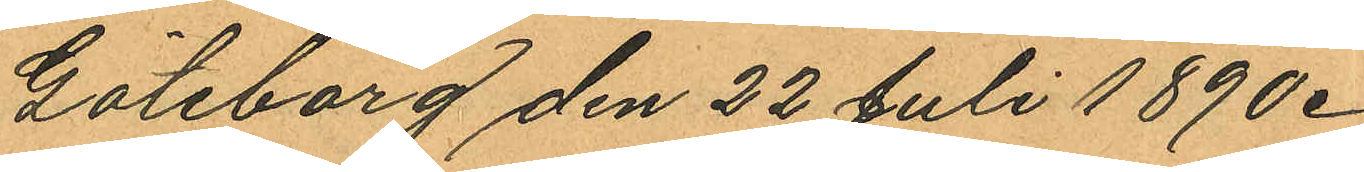Göteborg den 22 Juli 1890.
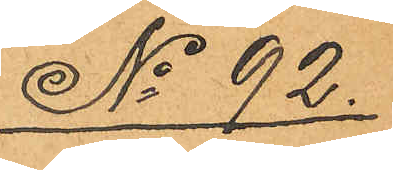No 92.
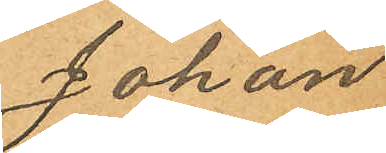Johan
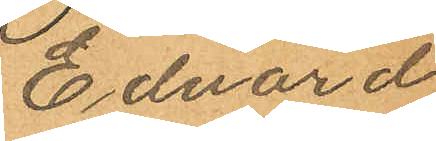Edvard
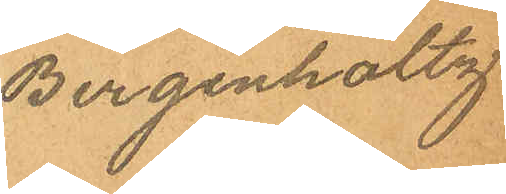Bergenholtz
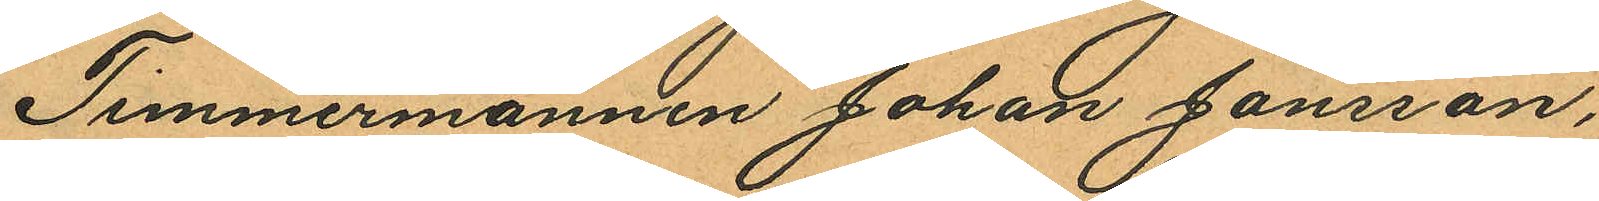Timmermannen Johan Jansson,
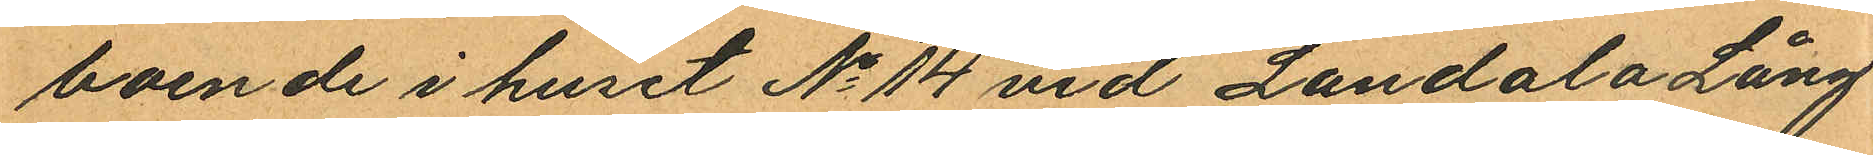boende i huset No 14 vid Landala Lång¬
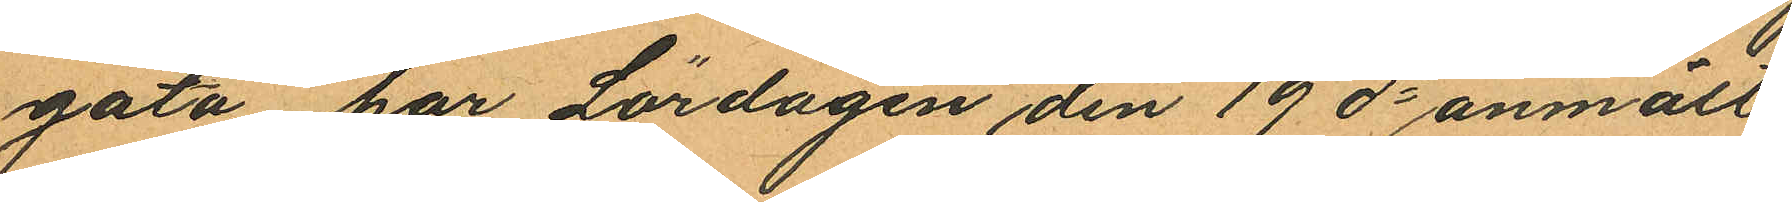gata har Lördagen den 19 ds anmält,
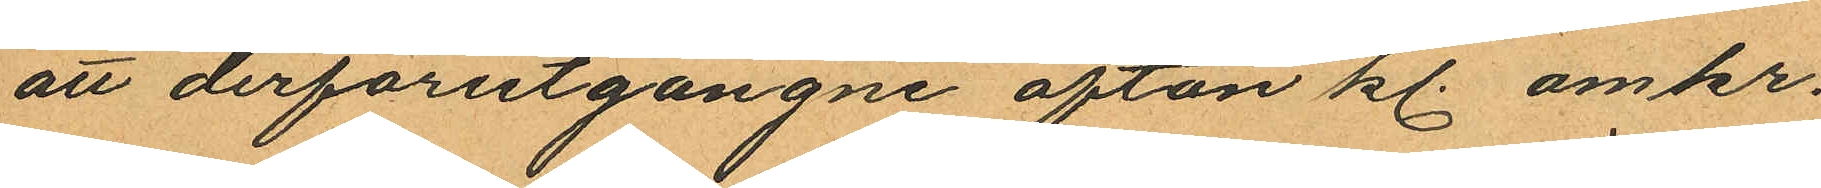att derförutgångne afton kl. omkr.
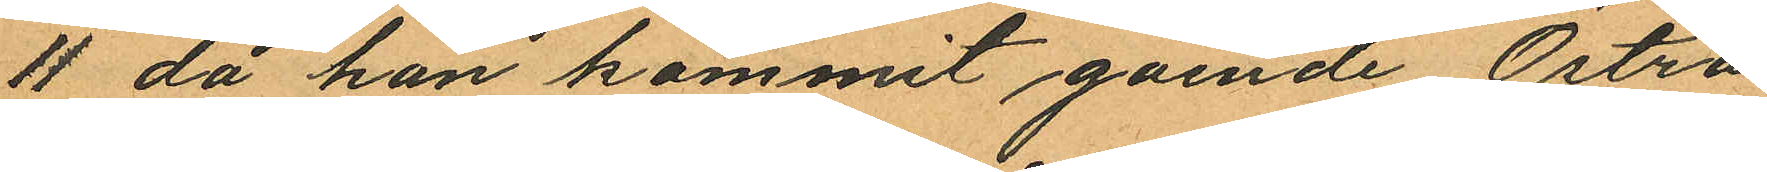11 då han kommit gående Östra
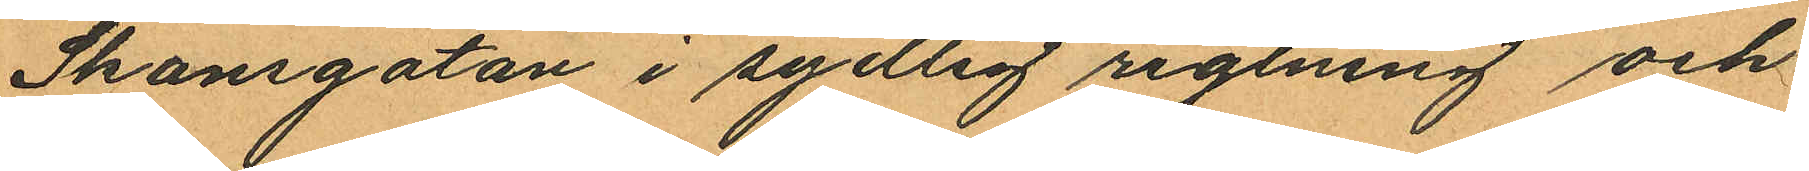Skansgatan i sydlig rigtning och
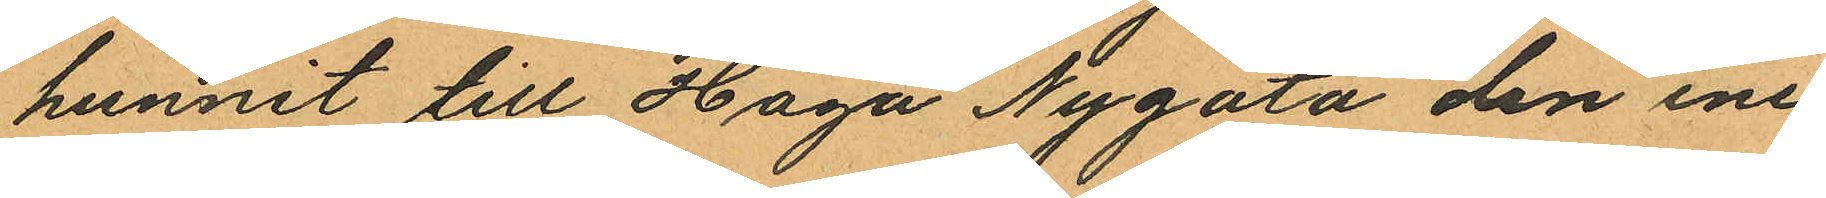hunnit till Haga Nygata den ene
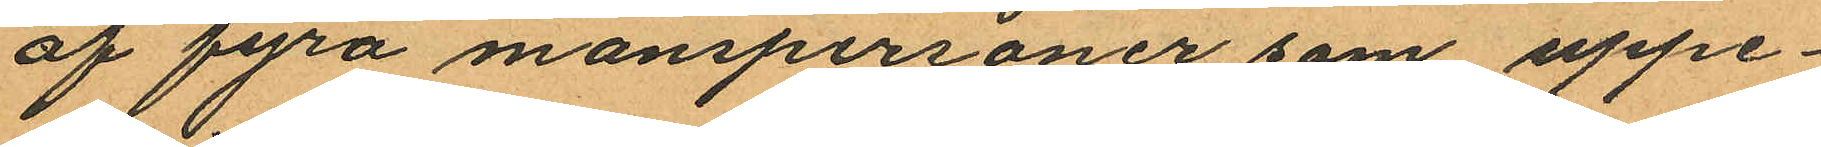af fyra manspersoner, som uppe¬
